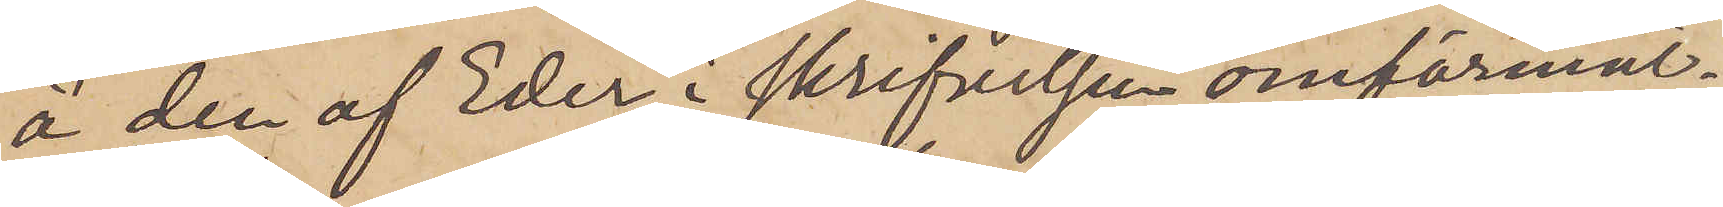å den af Eder i skrifvelsen omförmäl¬
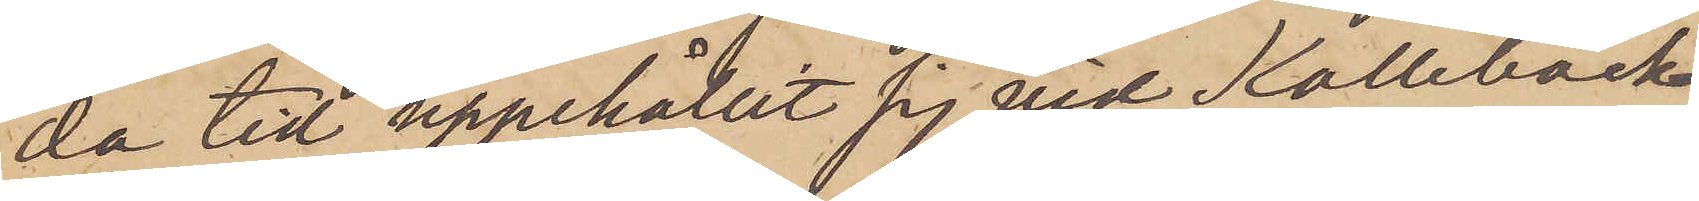da tid uppehållit sig vid Kallebäck,
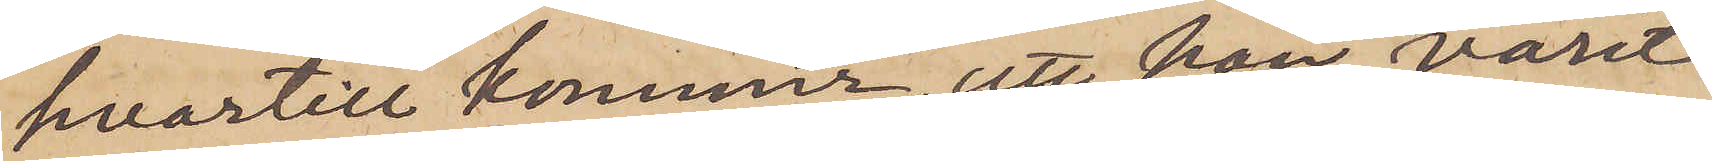hvartill kommer, att han varit
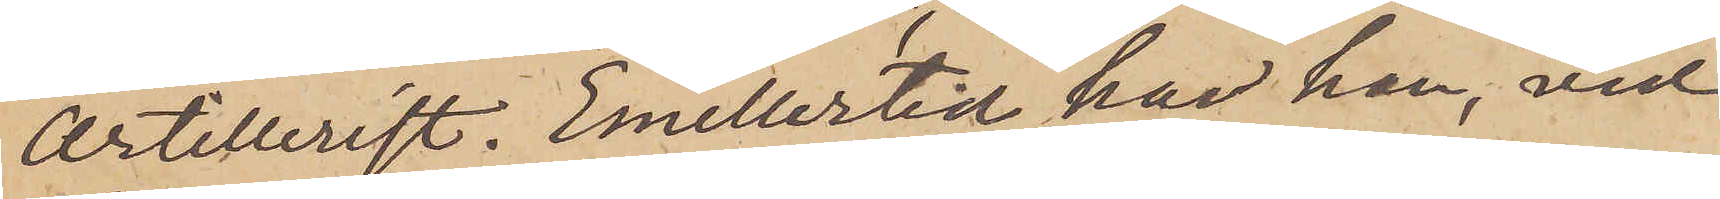Artillerist. Emellertid har han, vid
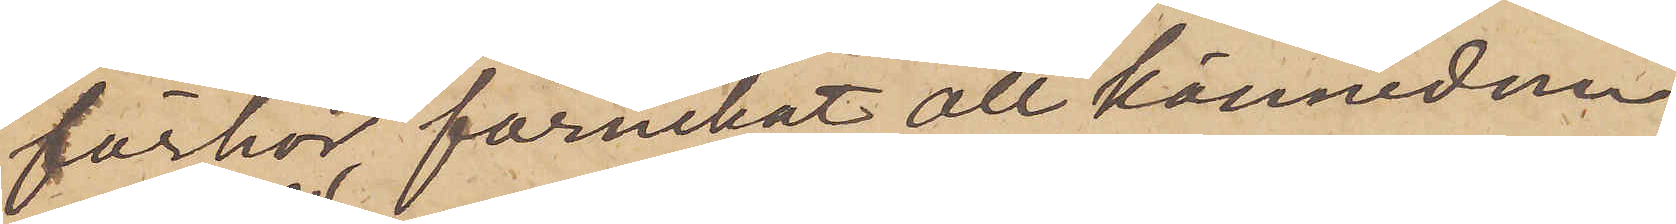förhör förnekat all kännedom
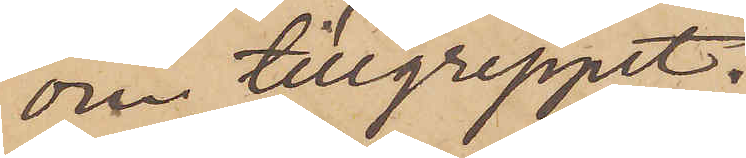om tillgreppet.
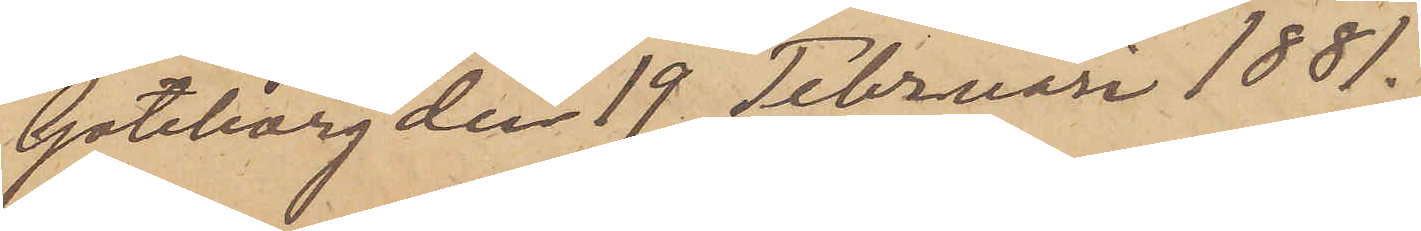Göteborg den 19 Februari 1881.
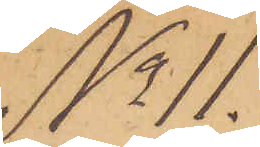No 11.
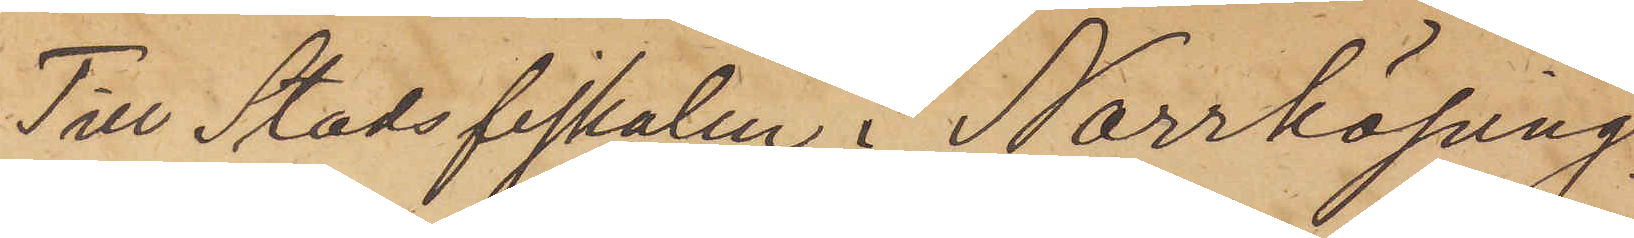Till Stadsfiskalen i Norrköping.
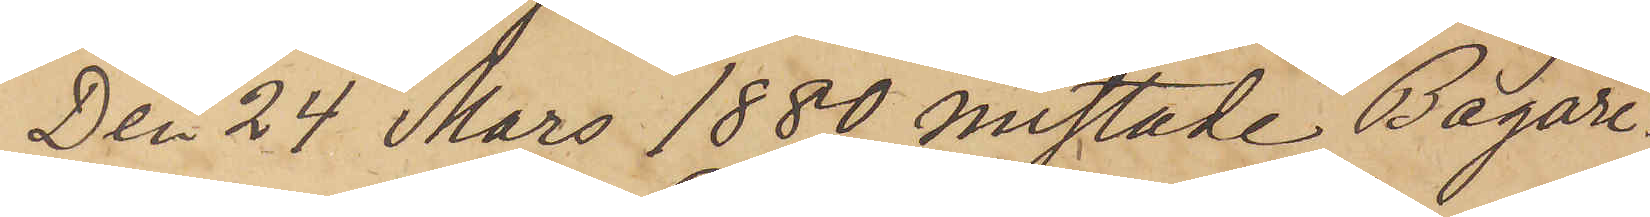Den 24 Mars 1880 mistade Bagare¬
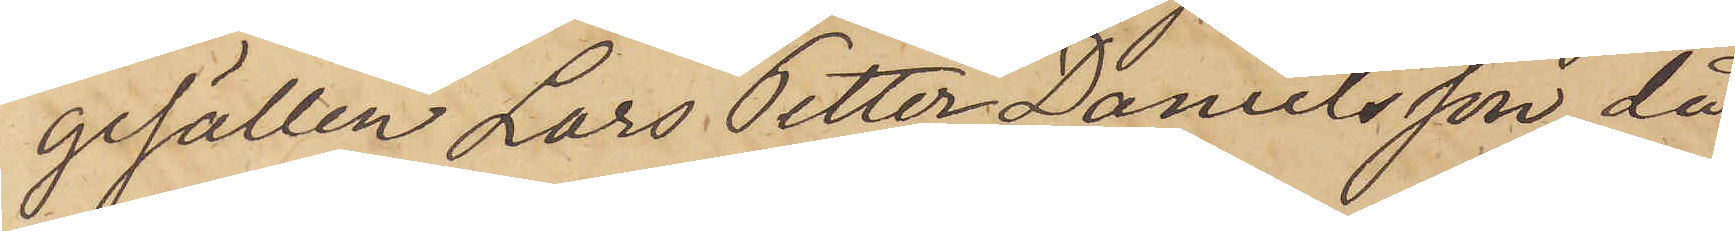gesällen Lars Petter Danielsson, då
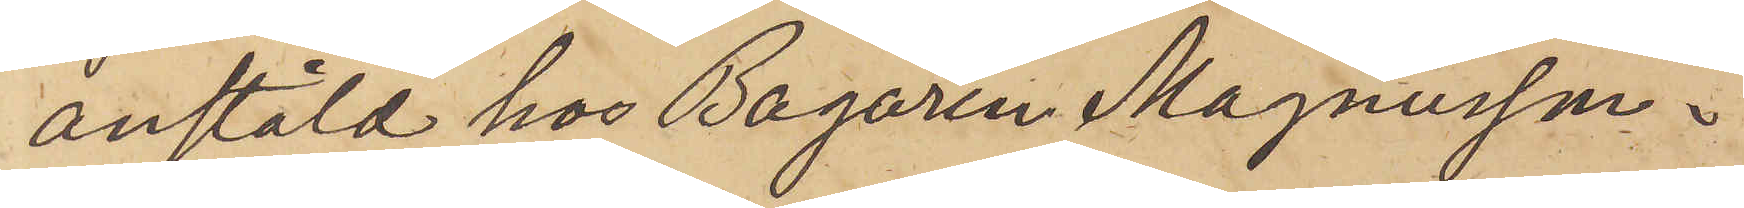anstäld hos Bagaren Magnusson i
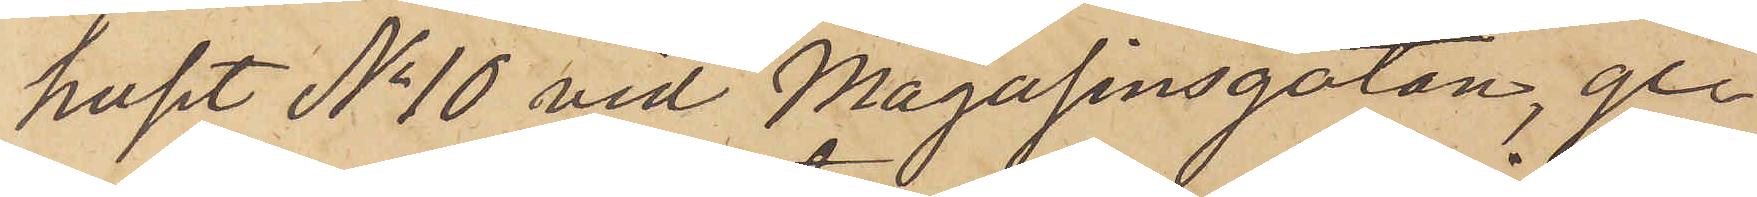huset No 10 vid Magasinsgatan, gen¬
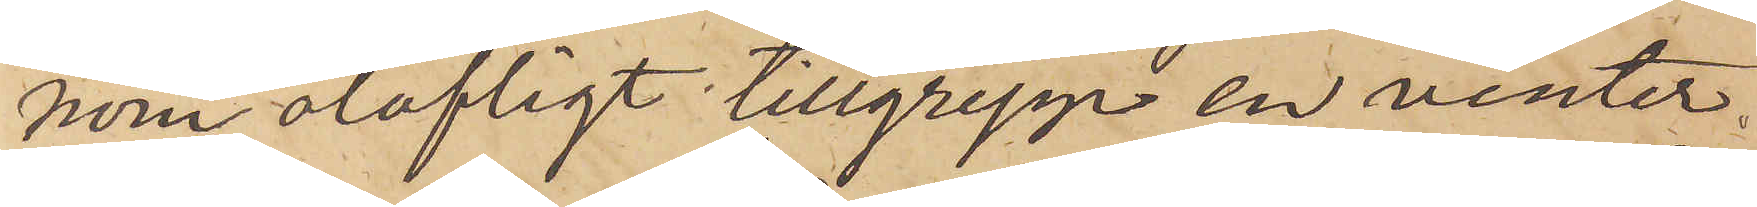nom olofligt tillgrepp en vinter¬
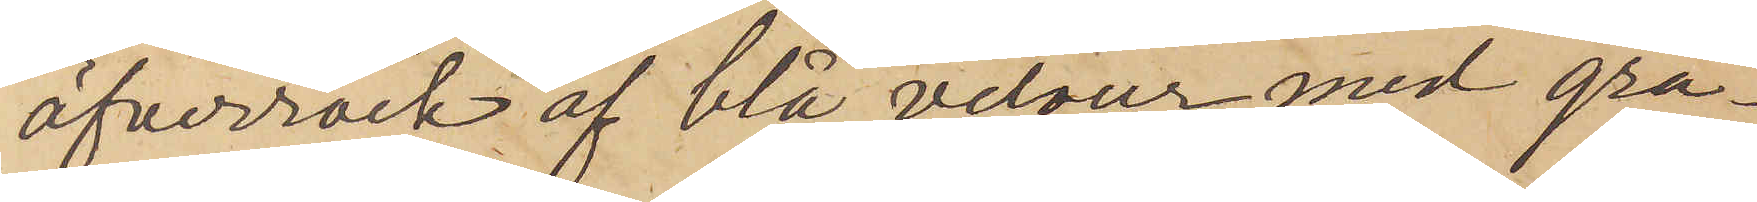öfverrock af blå velour med grå¬
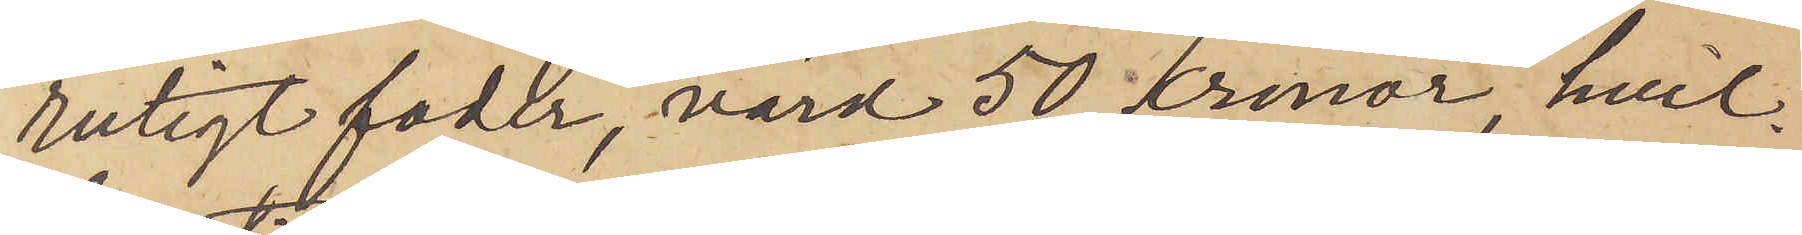rutigt foder, värd 50 kronor, hvil¬
